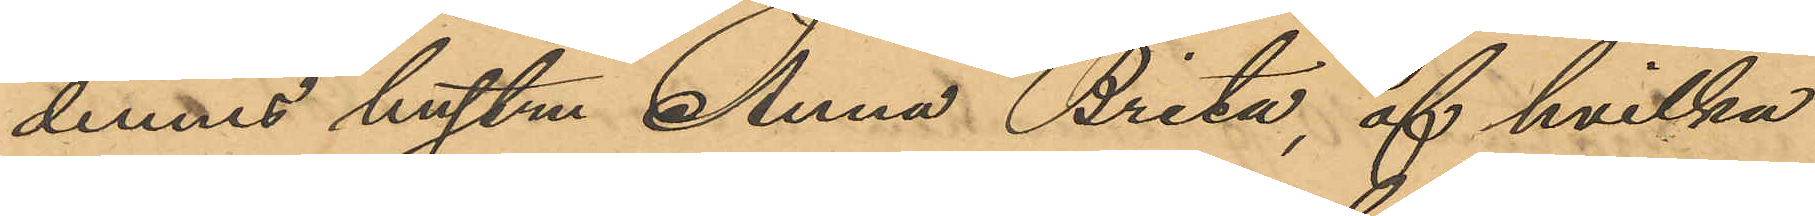dennes hustru Anna Brita, af hvilka
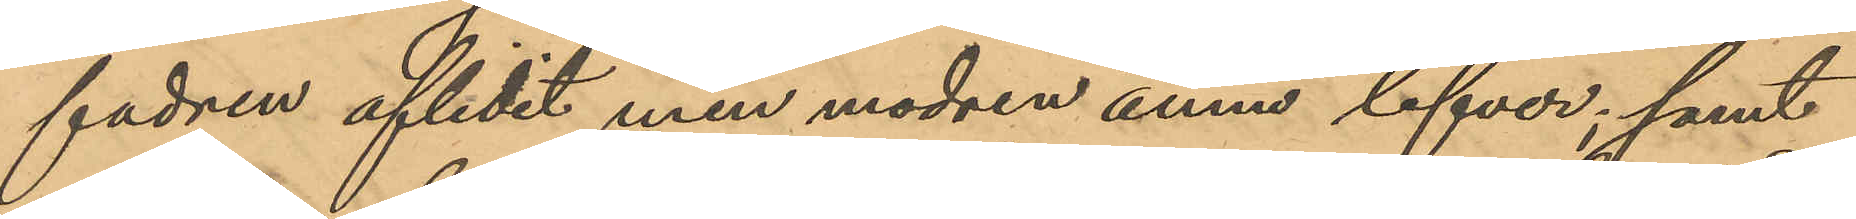fadren aflidit men modren ännu lefver; samt
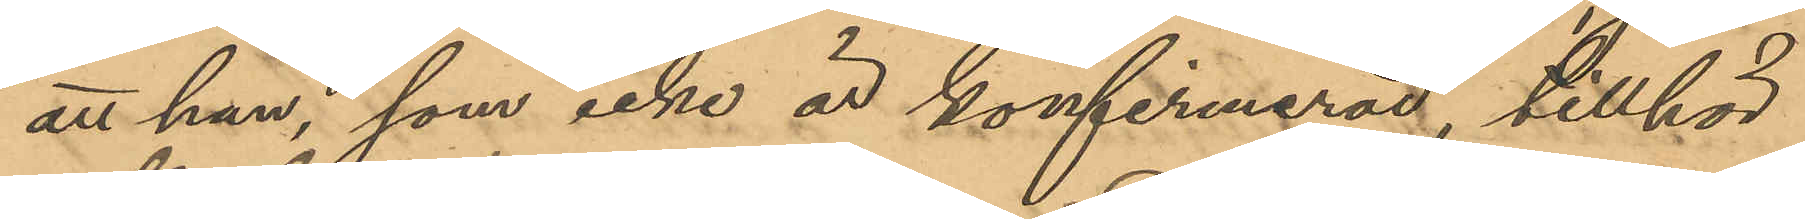att han, som icke är konfirmerad, tillhör
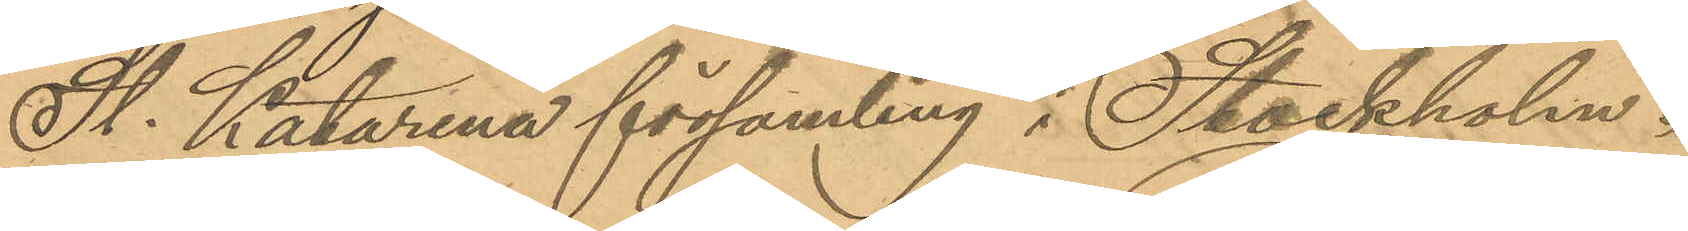St. Katarina församling i Stockholm.
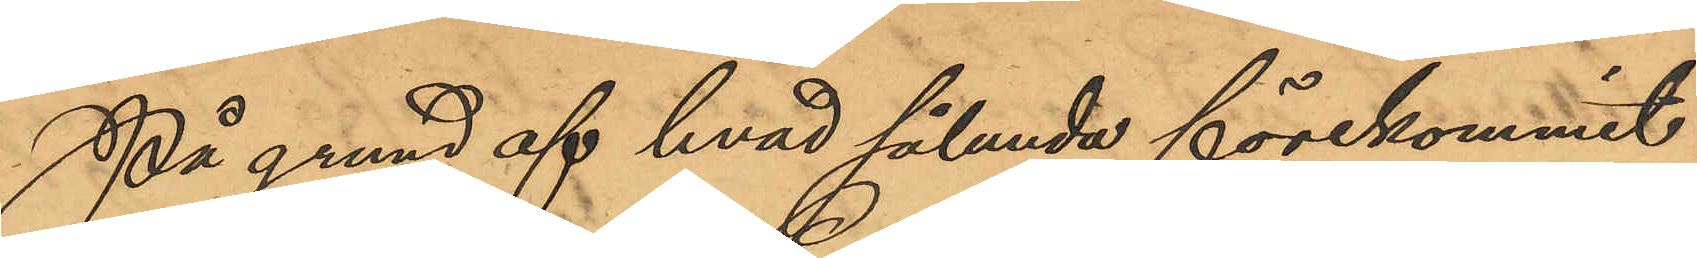På grund af hvad sålunda förekommit
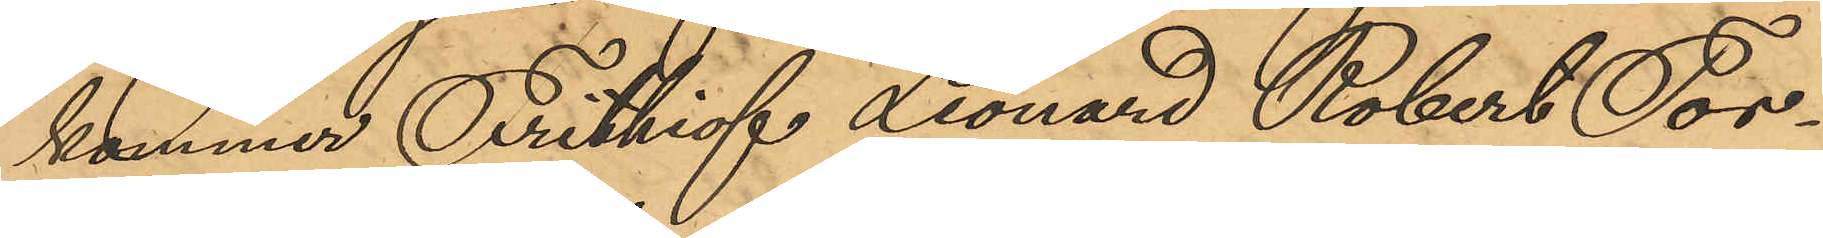kommer Frithiof Leonard Robert Tor¬
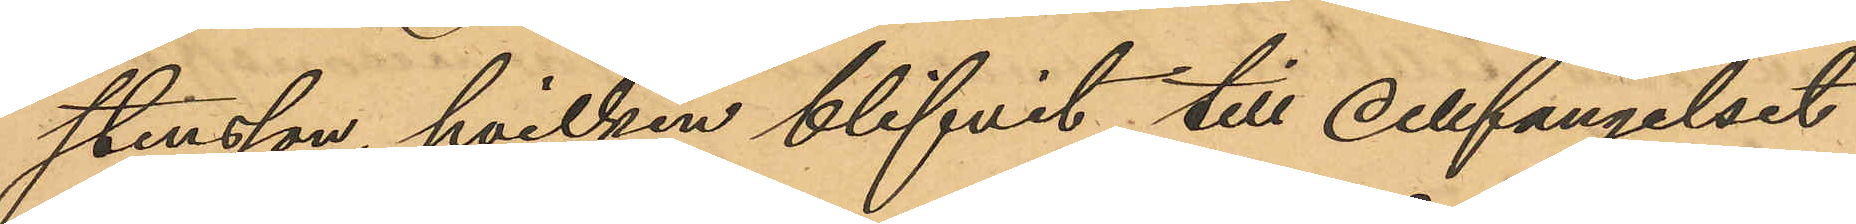stensson, hvilken blifvit till cellfängelset
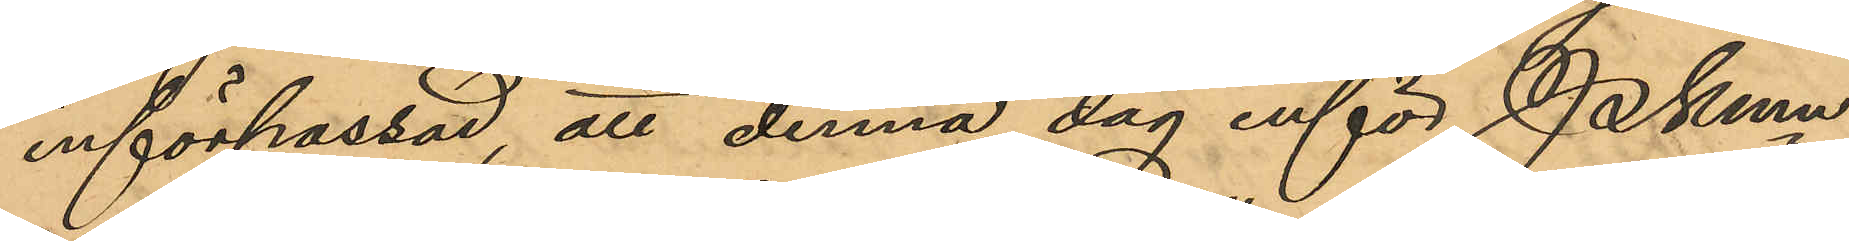införpassad, att denna dag inför PKmn
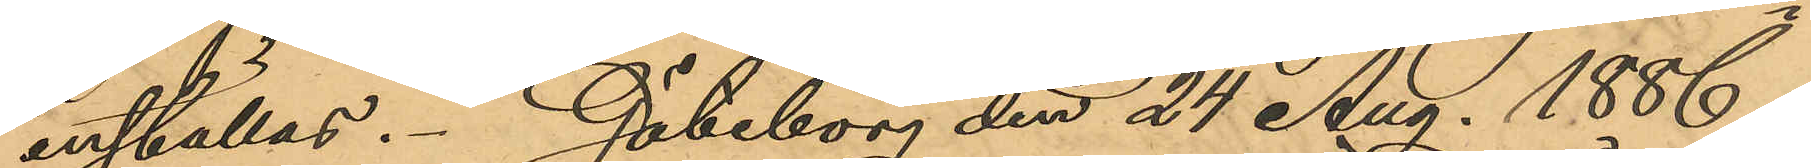inställas. Göteborg den 24 Aug. 1886.
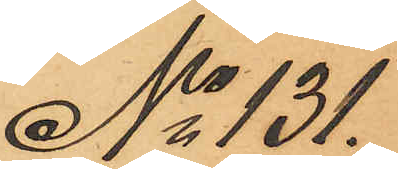No 131.
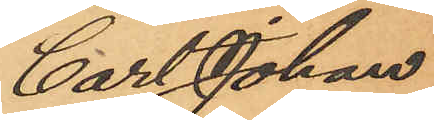Carl Johan
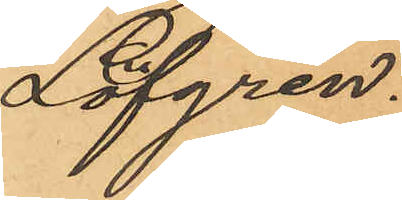Löfgren.
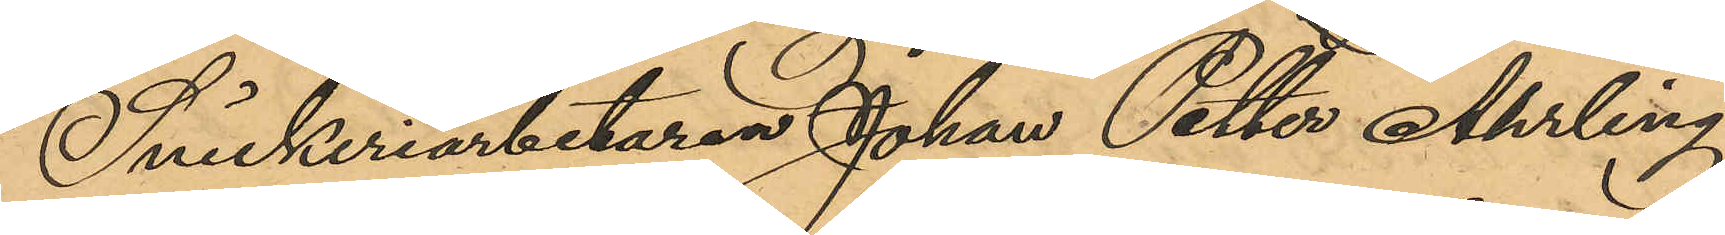Snickeriarbetaren Johan Petter Åhrling,
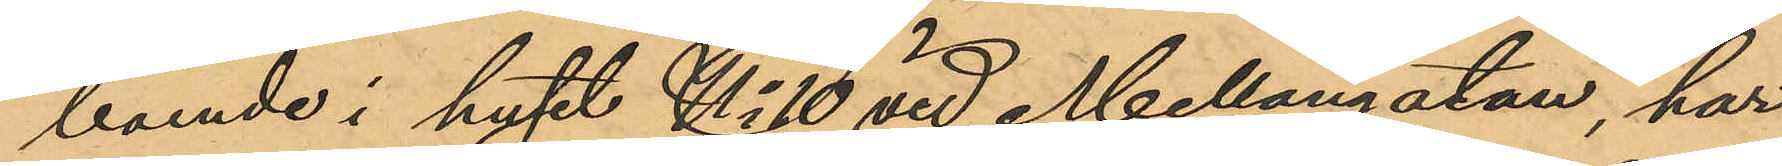boende i huset No 10 vid Mellangatan, har
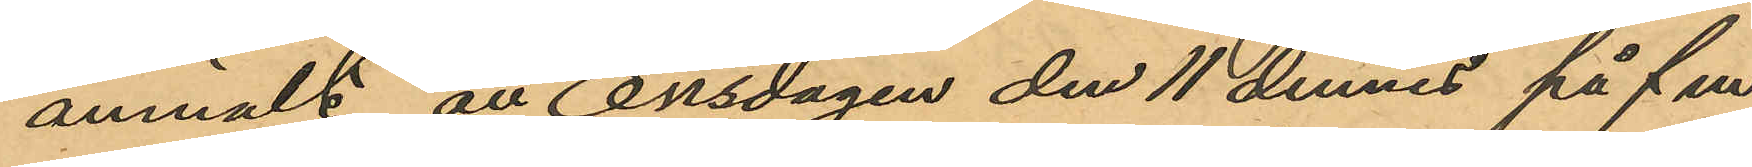anmält, att Onsdagen den 11 dennes på f.m
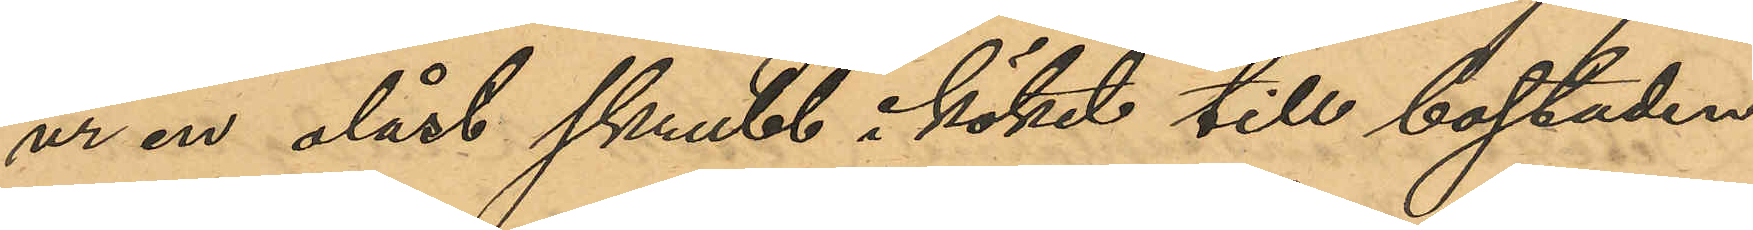ur en olåst skrubb i köket till bostaden
